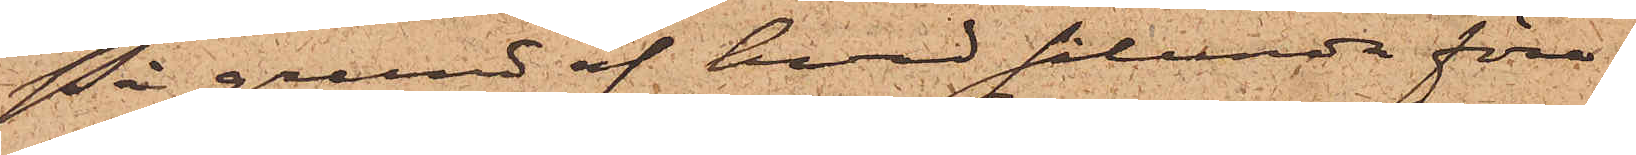På grund af hvad sålunda före¬
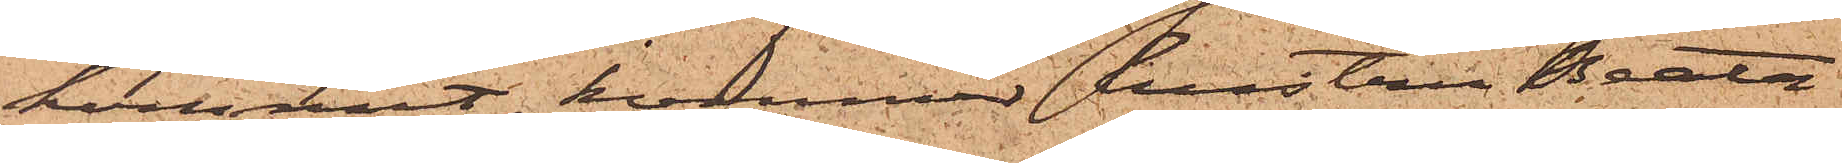kommit, kommer hustru Beata
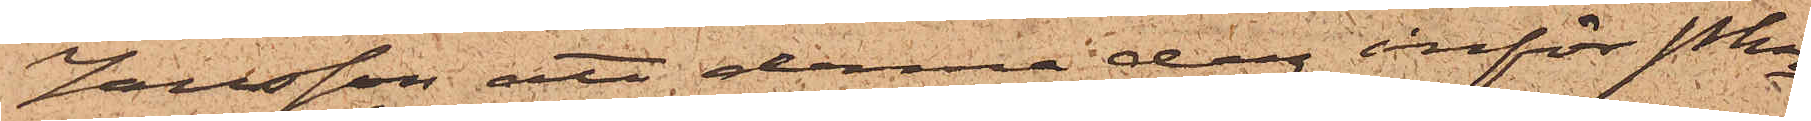Jansson att denna dag inför Pkn
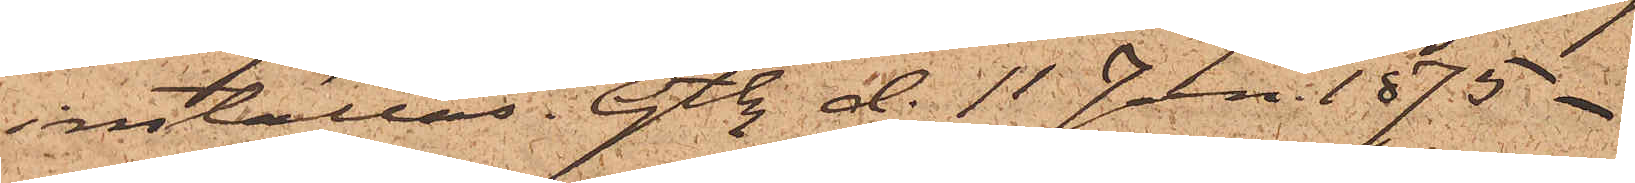inställas. Gtbg d. 11 Jan. 1875.
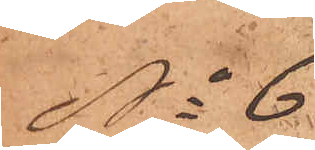No 6.
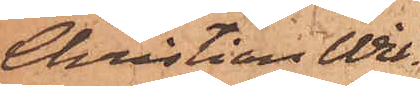Christian Wil¬
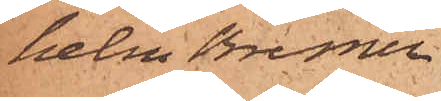helm Bremer
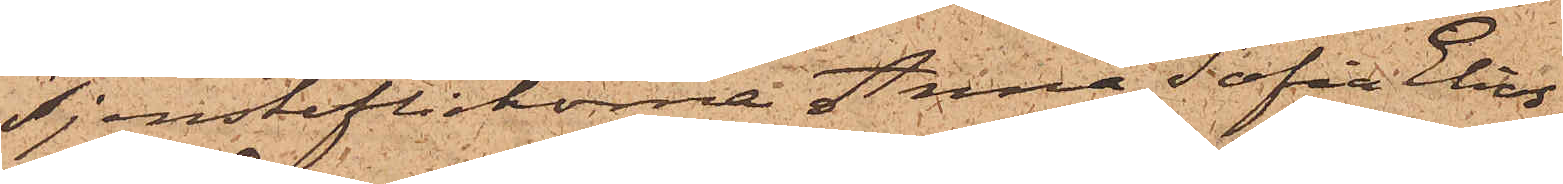Tjensteflickorna Anna Sofia Elias¬
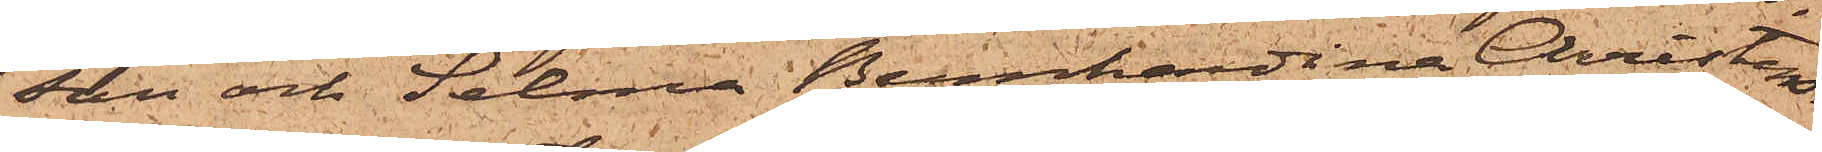son och Selma Bernhardina Christens¬
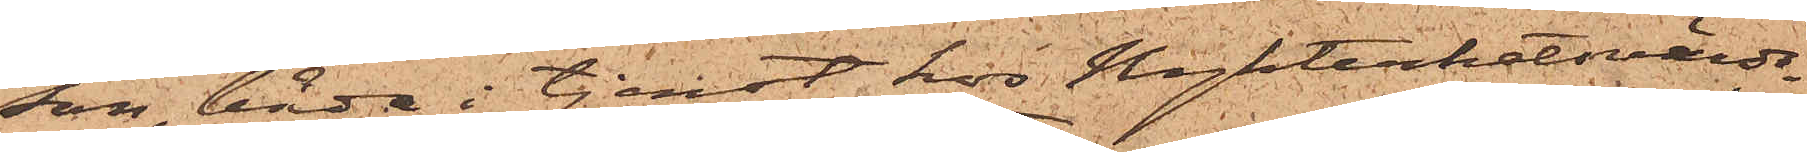son, båda i tjenst hos Nykterhetsvärds¬
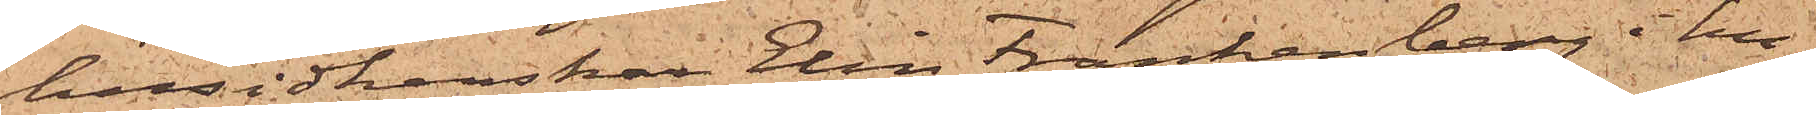husidkerskan Elin Frankenberg i hu¬
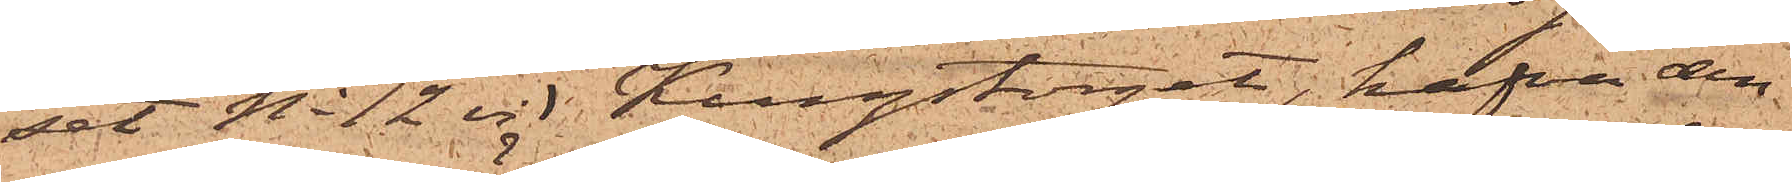set No 12 vid Kungstorget, hafva den
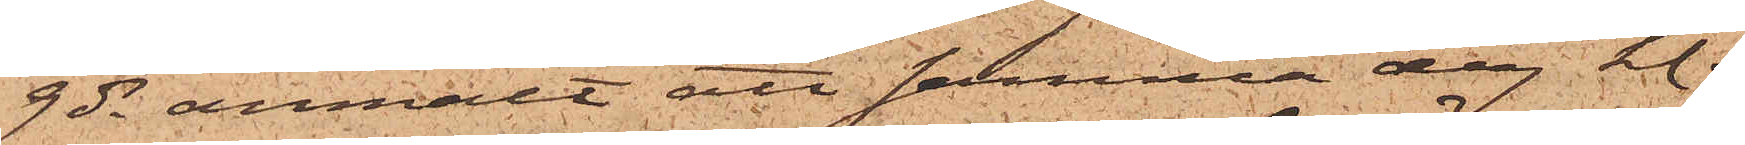9 ds anmält att samma dag kl.
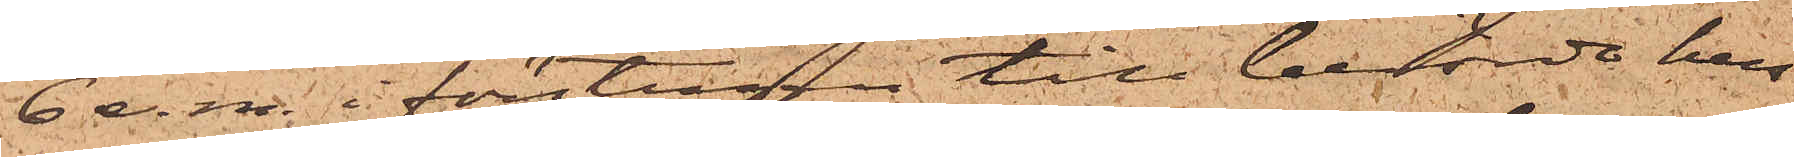6 e. m. i förstugan till berörde hus
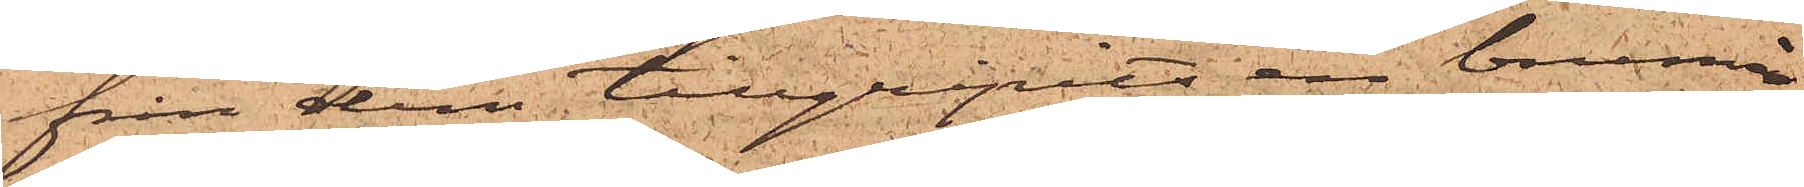från dem tillgripits en brunmå¬
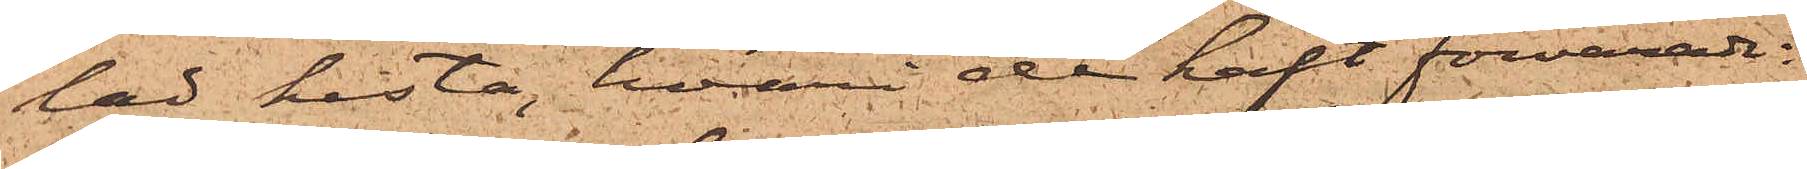lad kista, hvari de haft förvarade:
